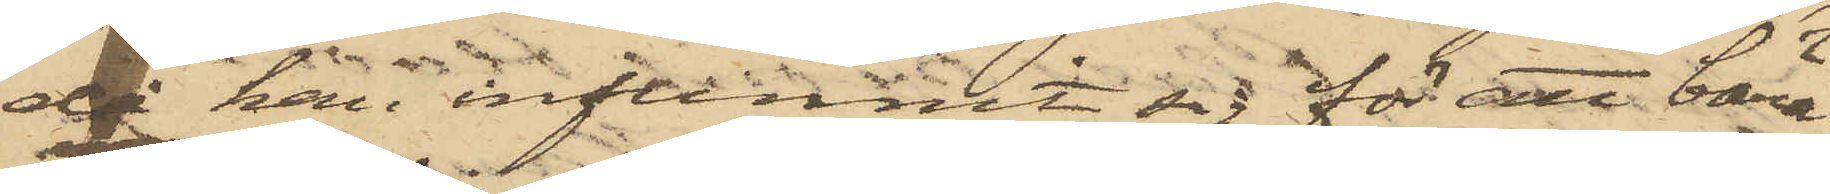då han infunnit sig för att bära
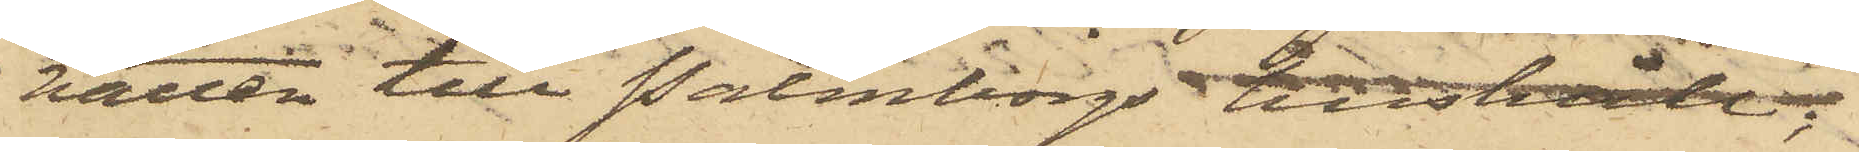vatten till Palmborgs hushåll;
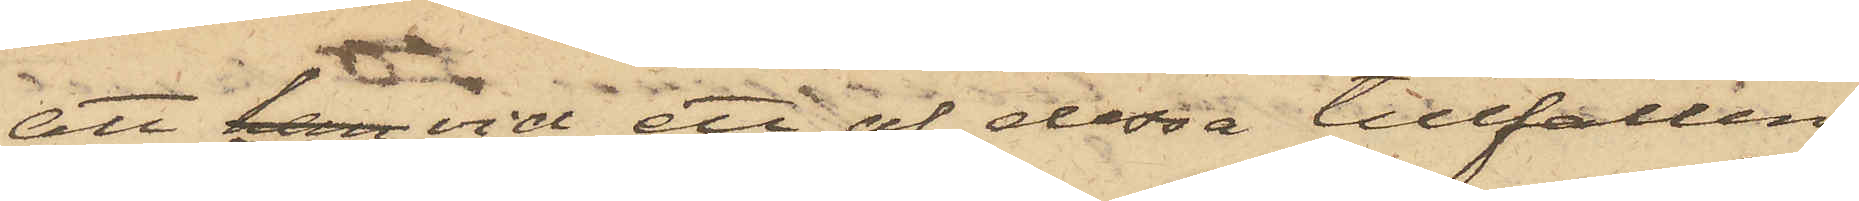att han vid ett af dessa tillfällen
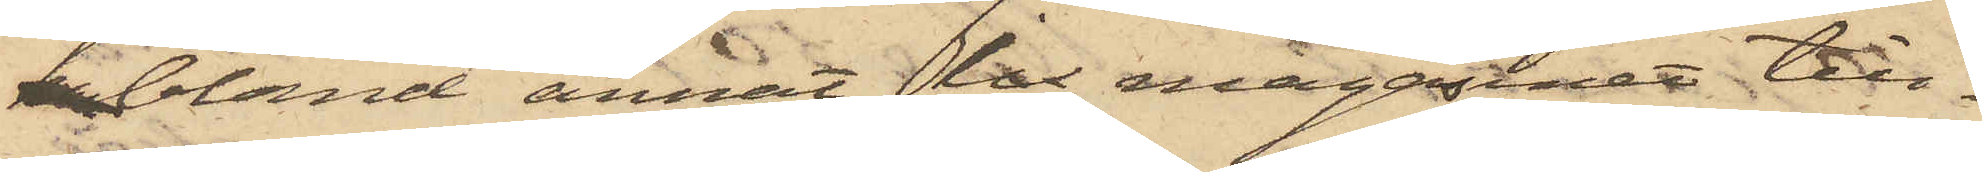han bland annat ur magasinet till¬
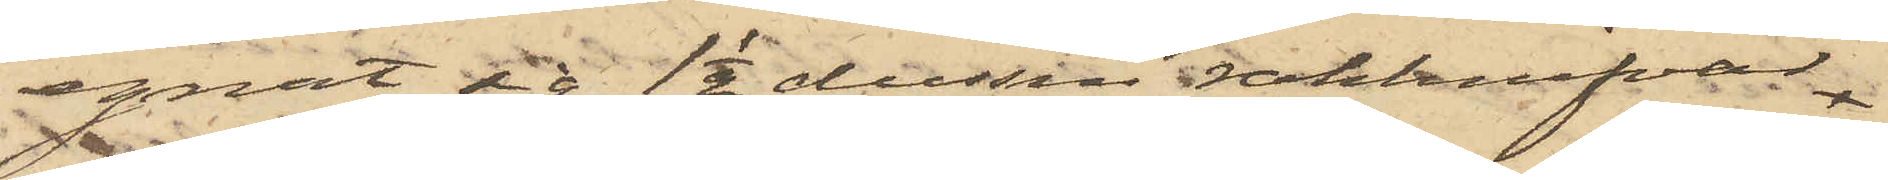egnat sig 1 1/2 dussin rakknifvar
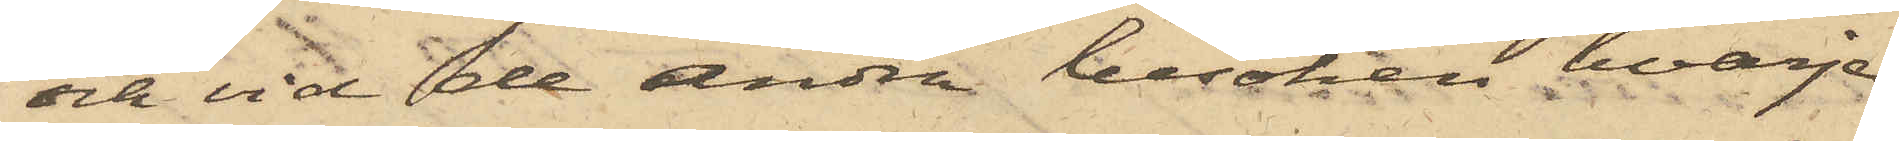och vid de andra besöken hvarje
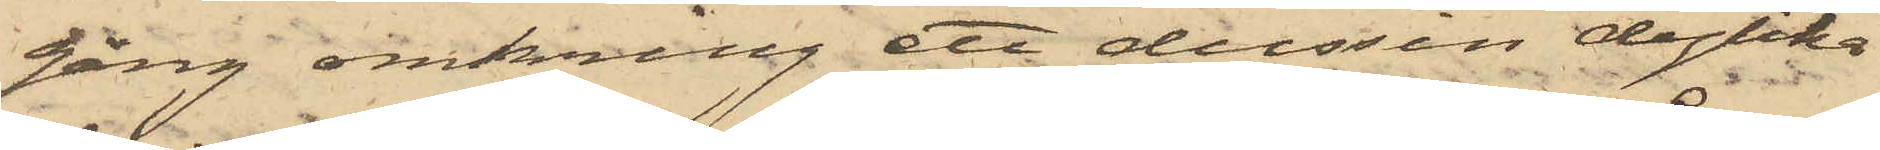gång omkring ett dussin dylika
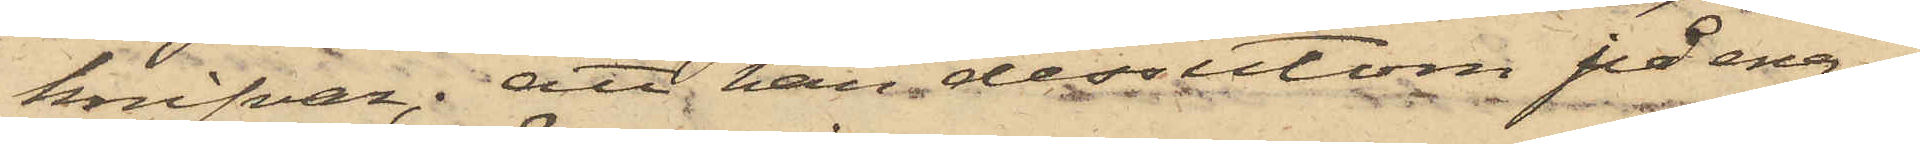knifvar; att han dessutom på ena¬
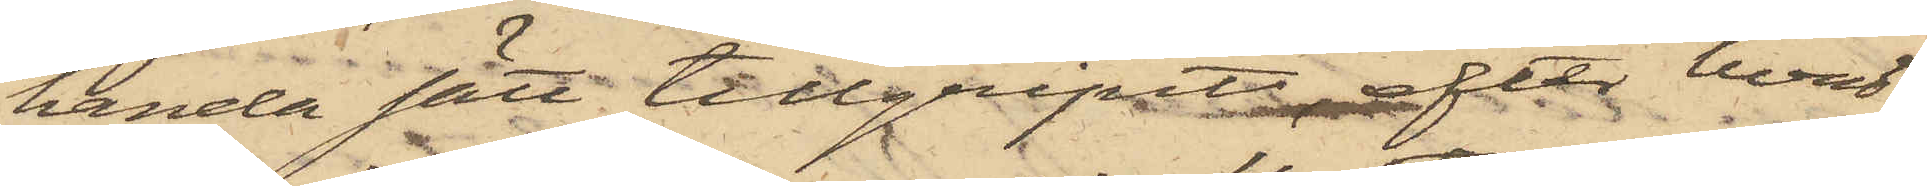handa sätt tillgripit, efter hvad
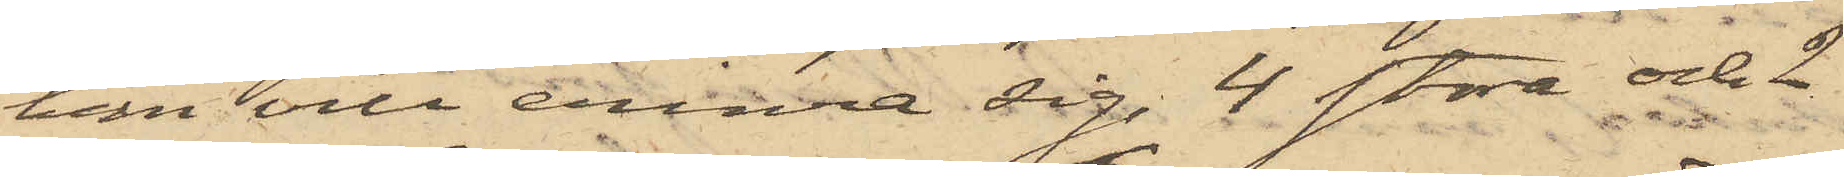han vill erinra sig, 4 stora och 2
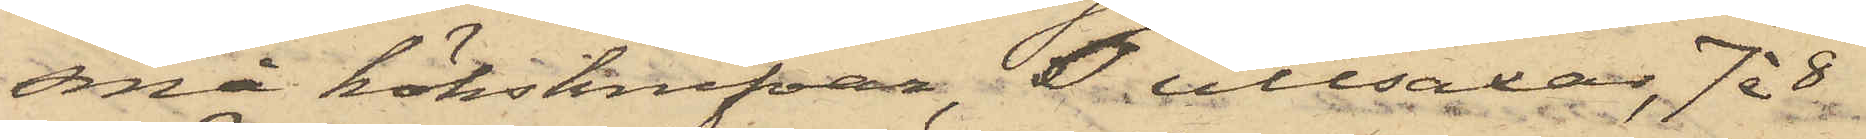små köksknifvar, 6 ullsaxar, 7 à 8
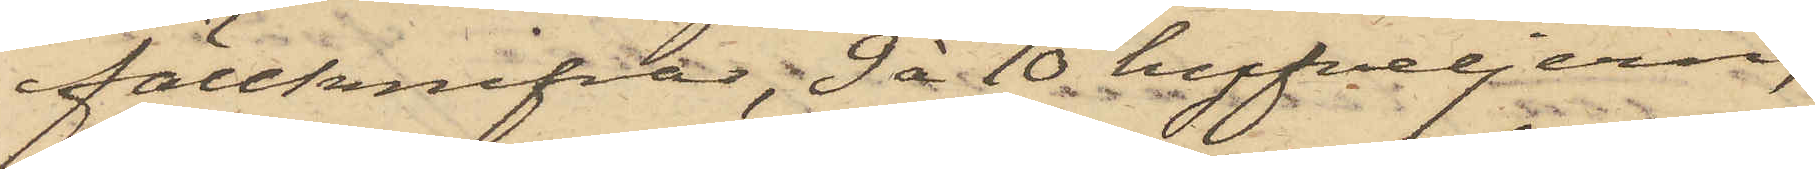fällknifvar, 9 à 10 hyfveljern,
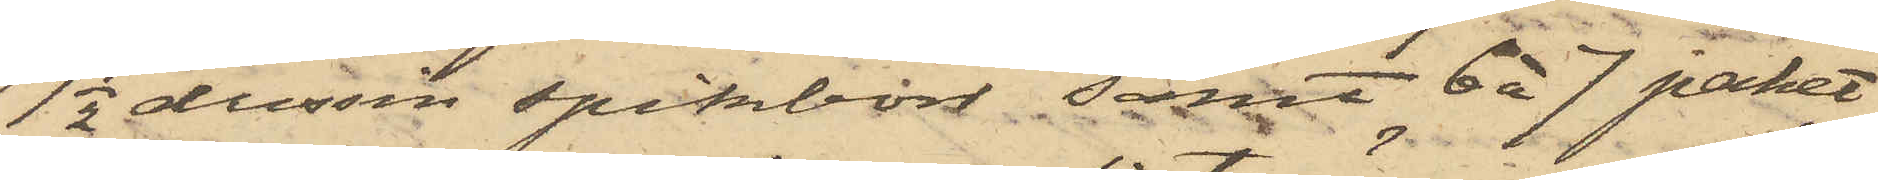1 1/2 dussin spikborr samt 6 à 7 paket
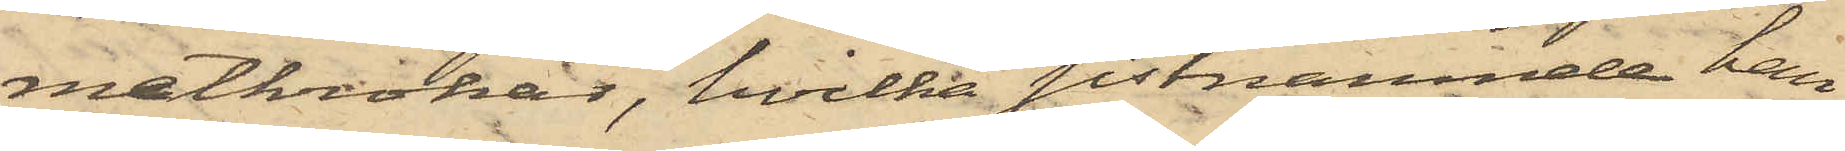metkrokar, hvilka sistnämnde han
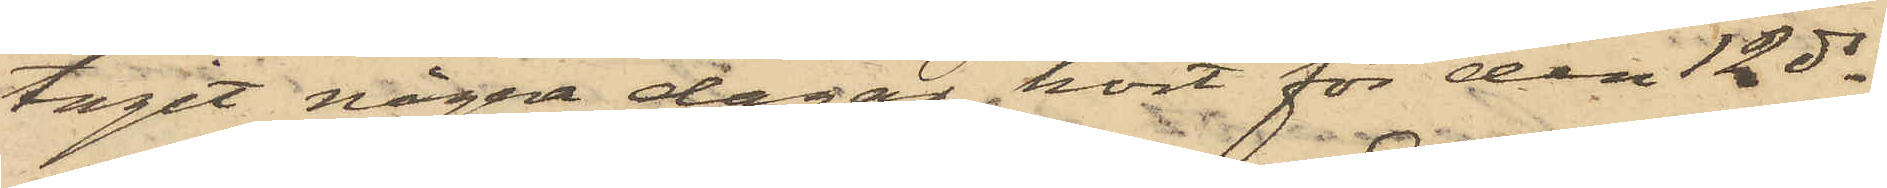tagit några dagar kort för den 12 ds,
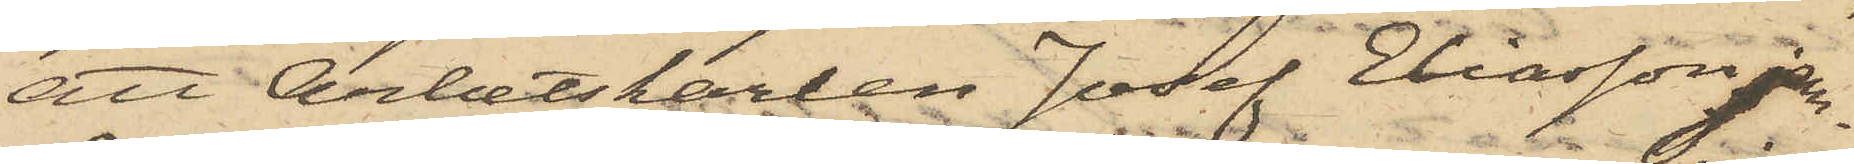att Arbetskarlen Josef Eliasson jem¬
